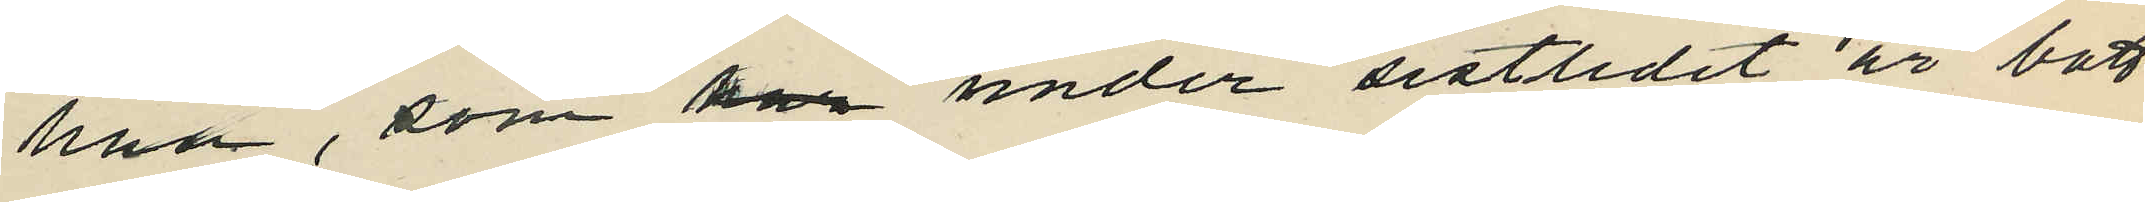han, som har under sistlidet år bott
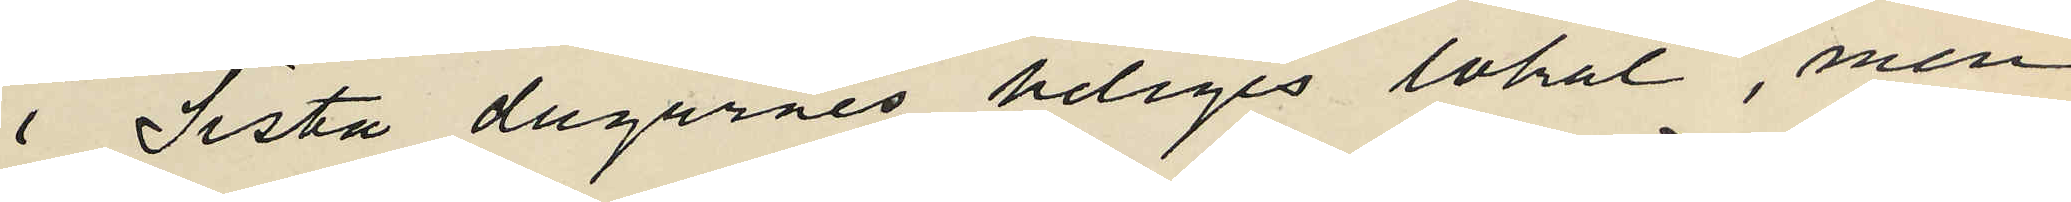i Sista dagarnes heliges lokal, men
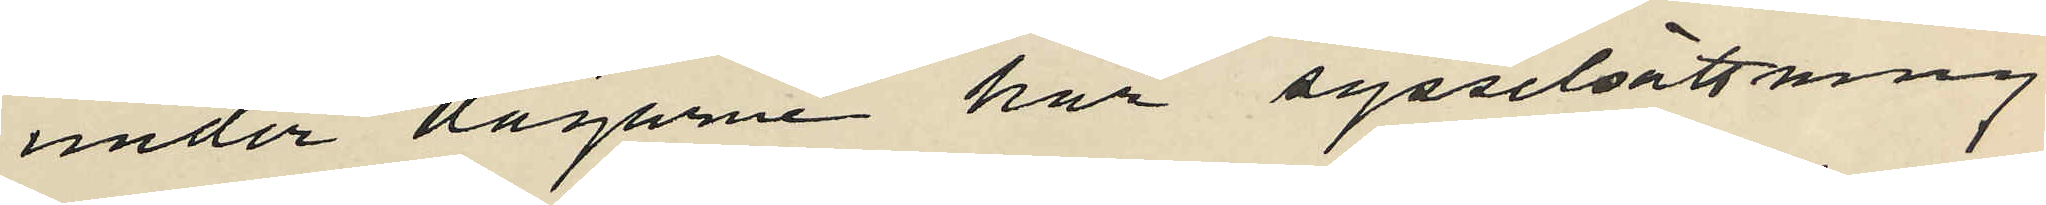under dagarne har sysselsättning
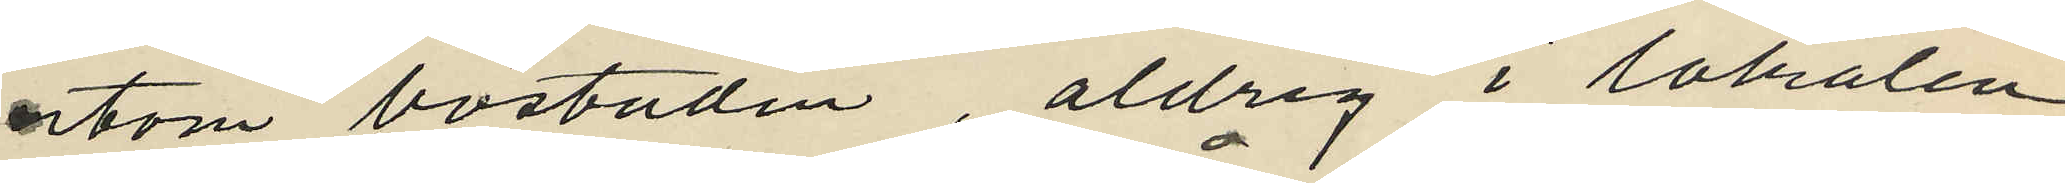utom bostaden, aldrig i lokalen
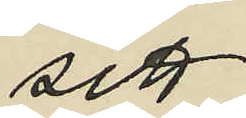sett
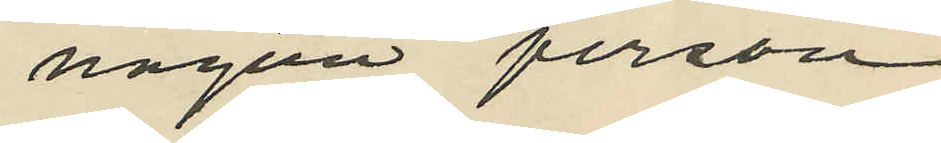någon person
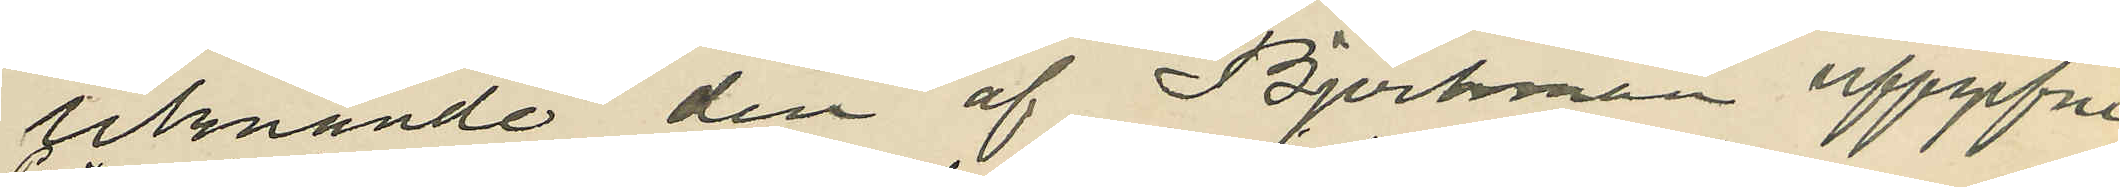liknande den af Björkman uppgifne
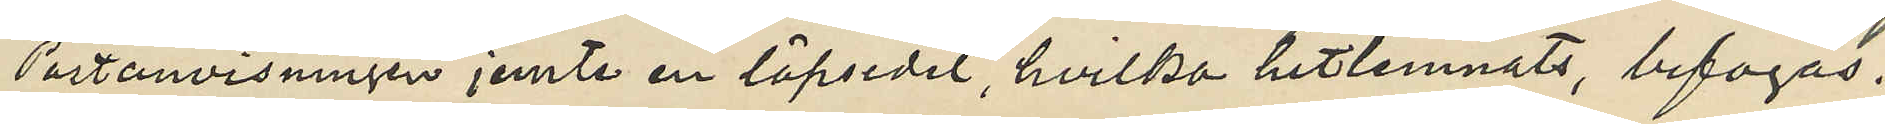Postanvisningen jemte en löpsedel, hvilka hitlemnats, bifogas.
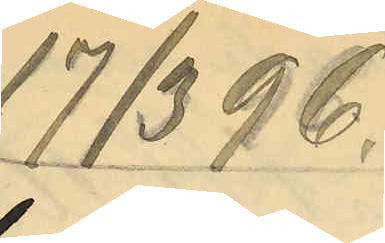17/3 96
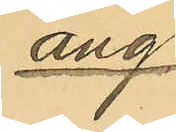ang
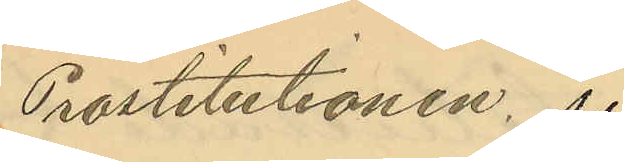Prostitutionen.
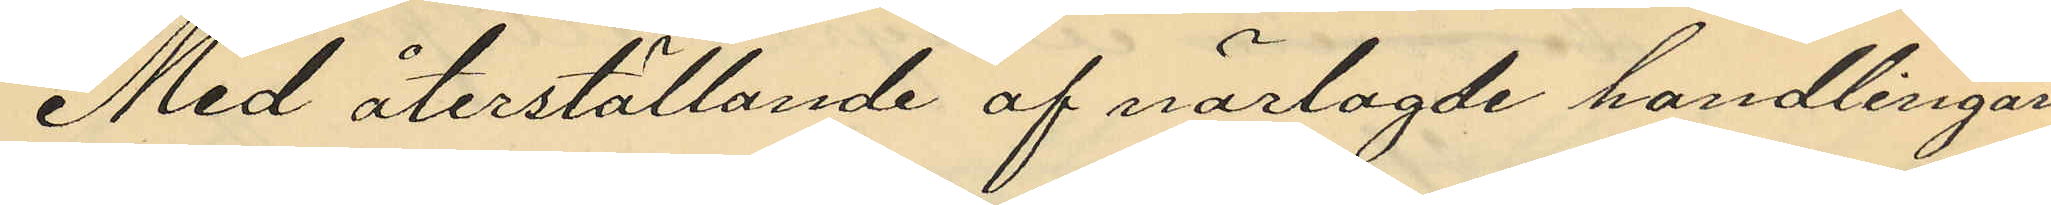Med återställande af närlagde handlingar
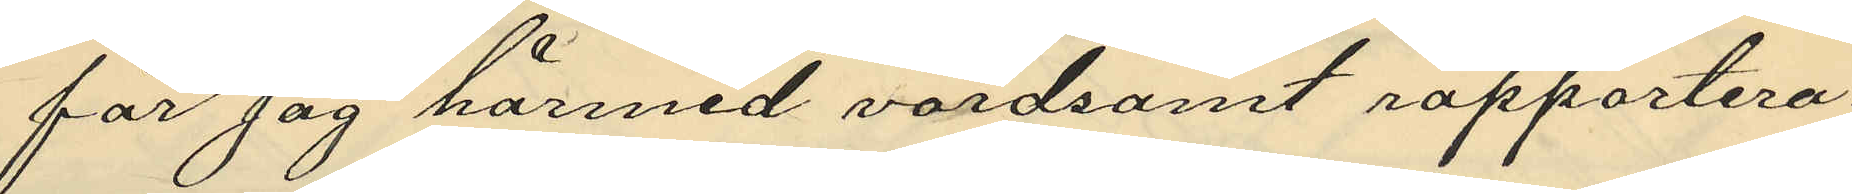får jag härmed vördsamt rapportera:
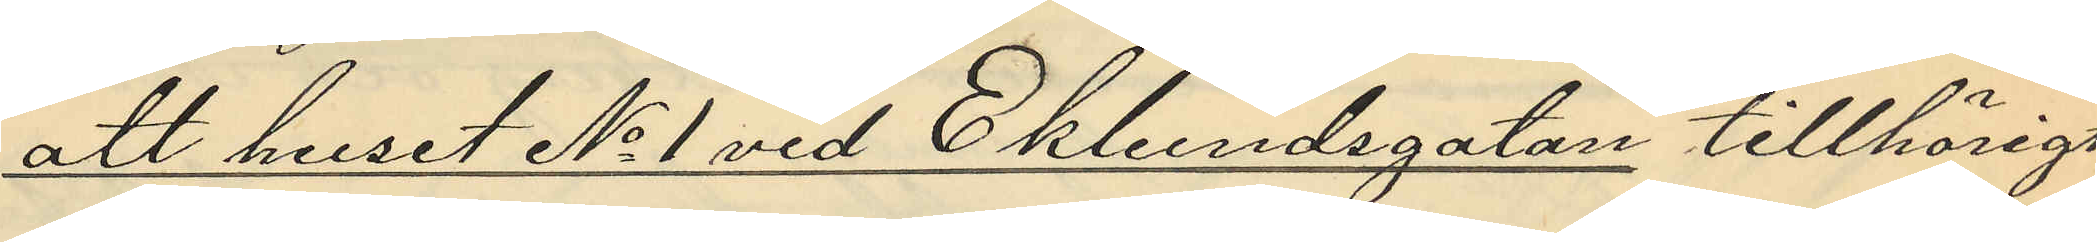att huset No 1 vid Ekelundsgatan tillhörigt
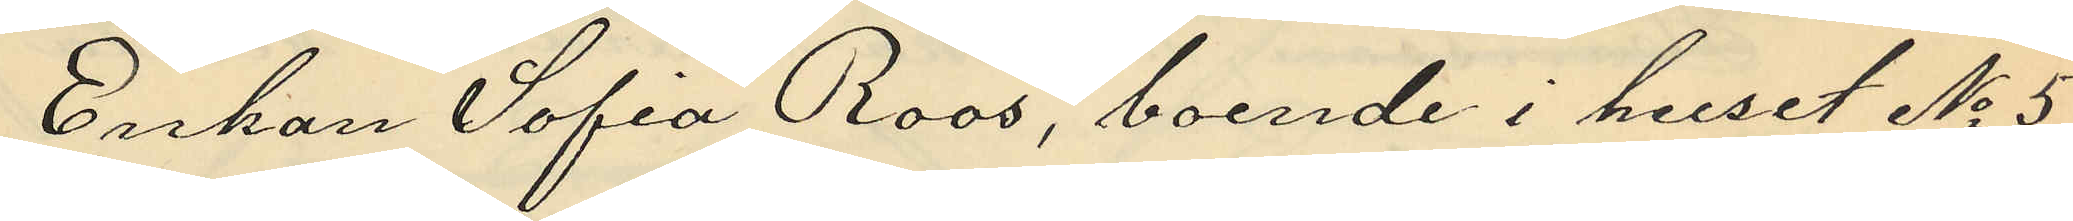Enkan Sofia Roos, boende i huset No 5
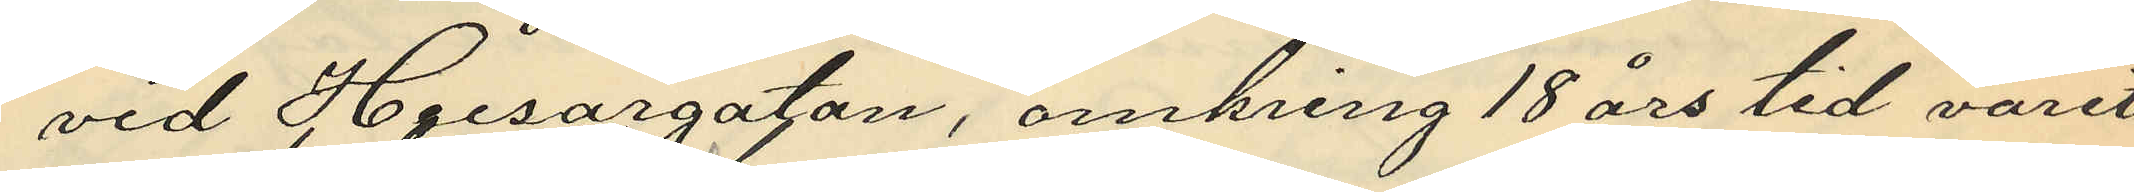vid Husargatan, omkring 18 års tid varit
